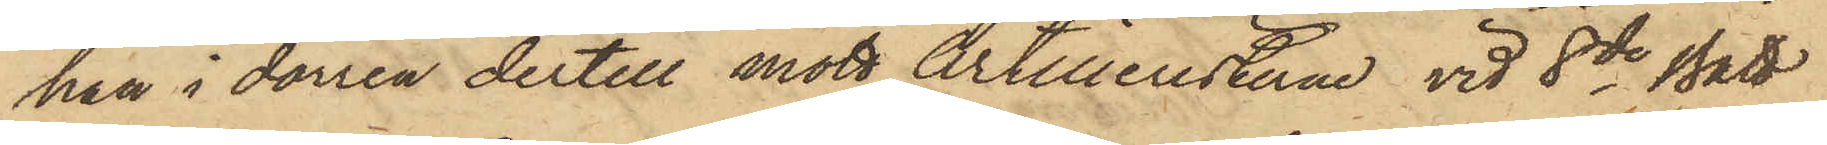han i dörren dertill mött Artilleristerne vid 8de Batt
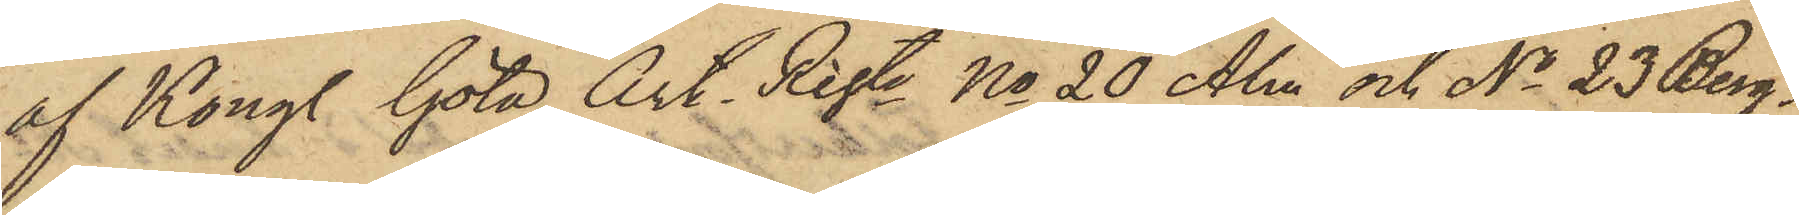af Kongl. Göta Art. Reste No 20 Alm och No 23 Berg¬
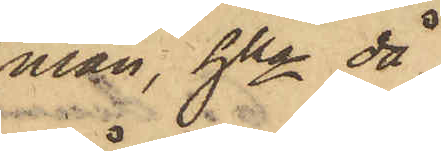man, hka då
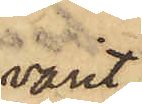varit
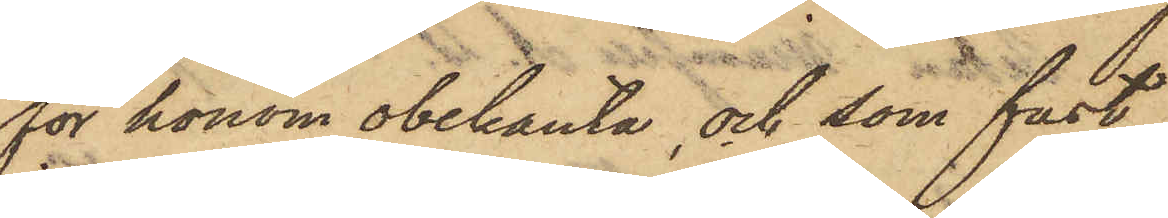för honom obekanta, och som fast¬
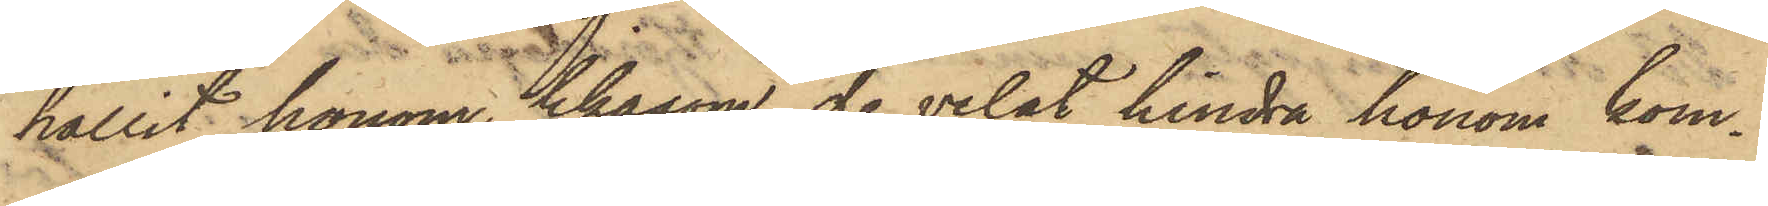hållit honom, likasom de velat hindra honom kom¬
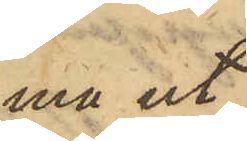ma ut;
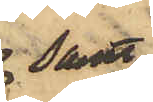samt
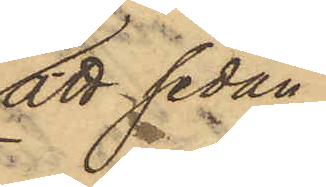att sedan
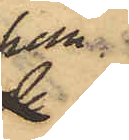han
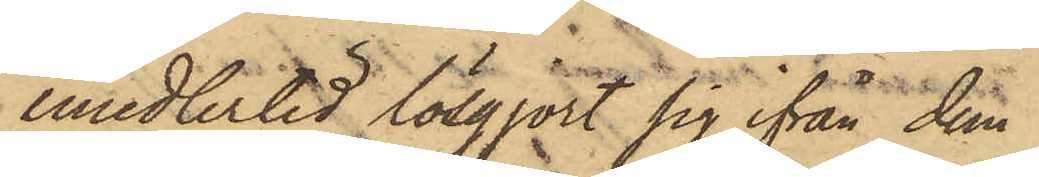emedlertid lösgjort för ifrån dem
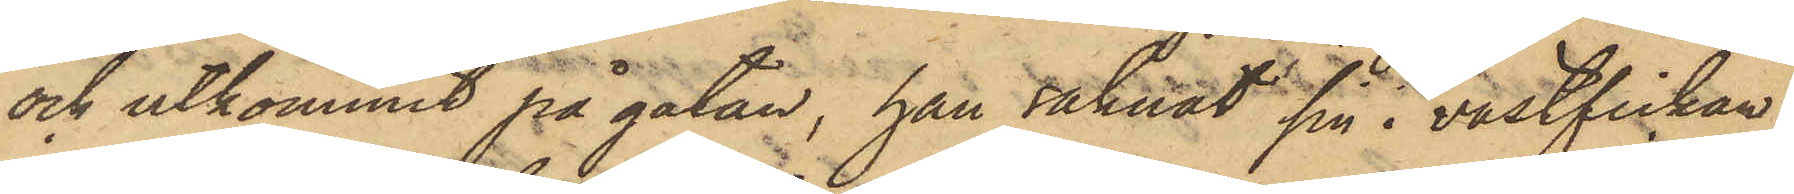och utkommit på gatan, han saknat sin i västfickan
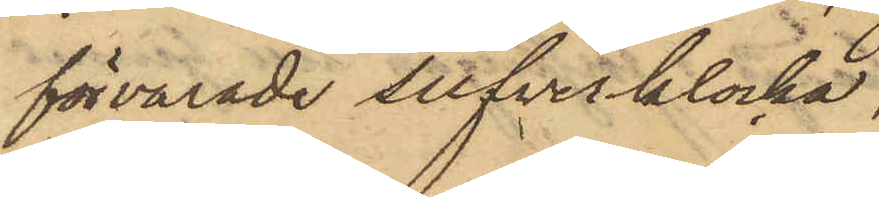förvarade silfverklocka,
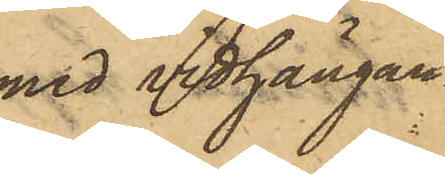med vidhängan¬
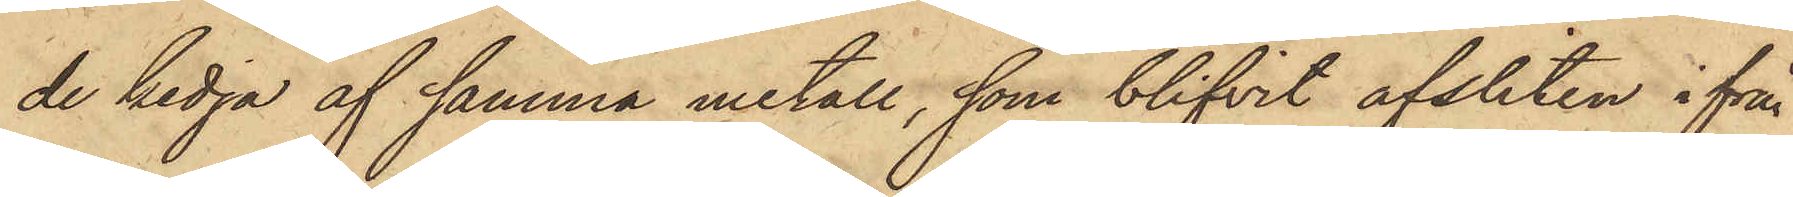de kedja af samma metall, som blifvit afsliten i från
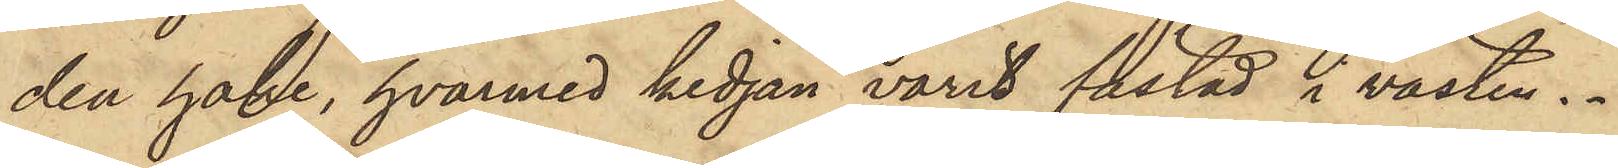den hake, hvarmed kedjan varit fästad i västen.
